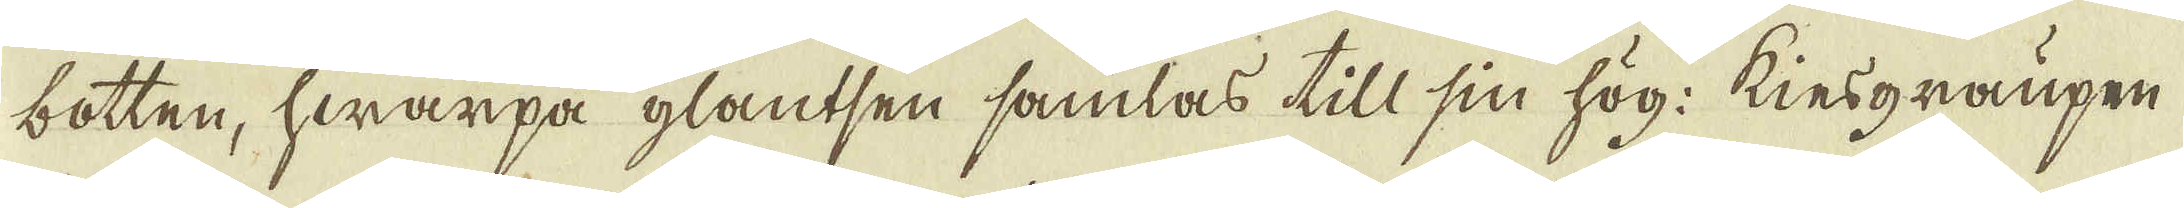botten, hwarpå glantsen samlas till sin hög: kiesgraupen
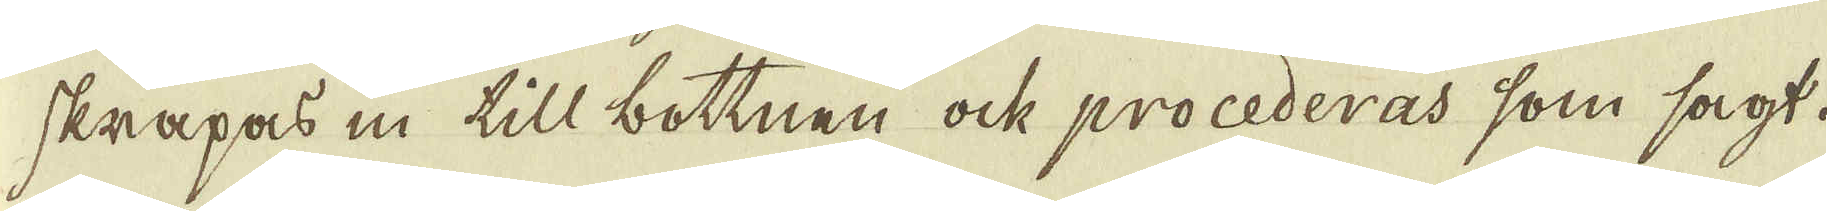skrapas in till bottnen ock procederas som sagt.
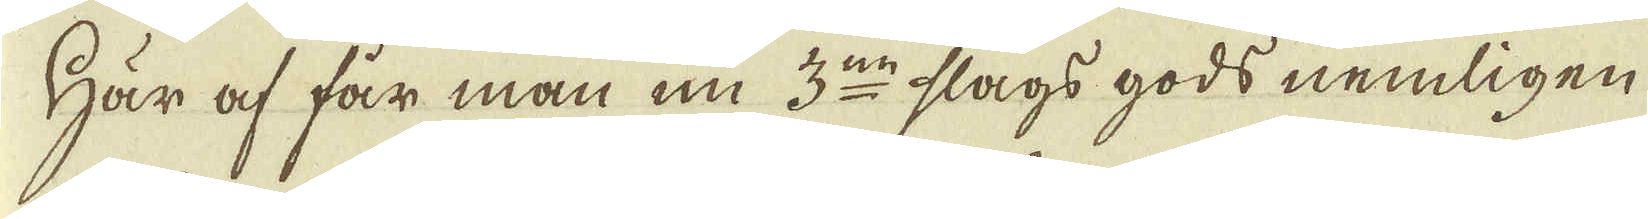Här af får man nu 3:ne slags gods nemligen.
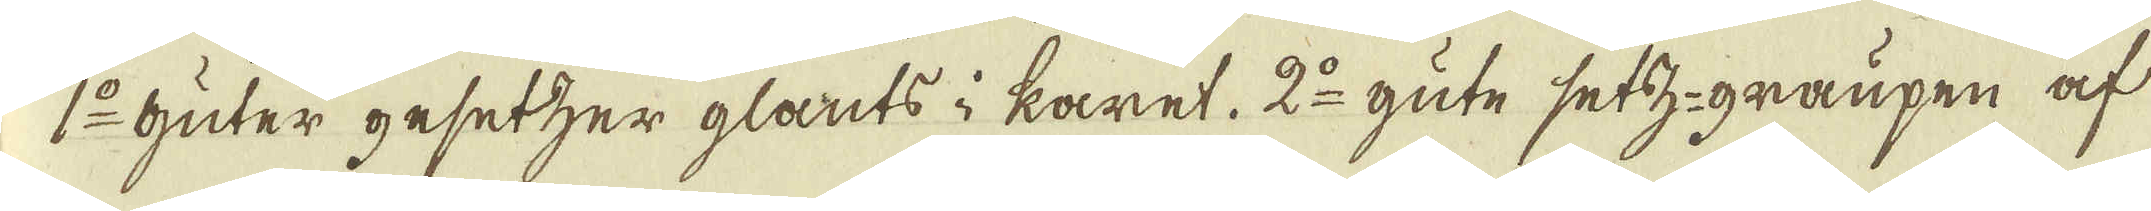1:o Guter gesetzer glants i karet. 2:o gute setz-graupen af
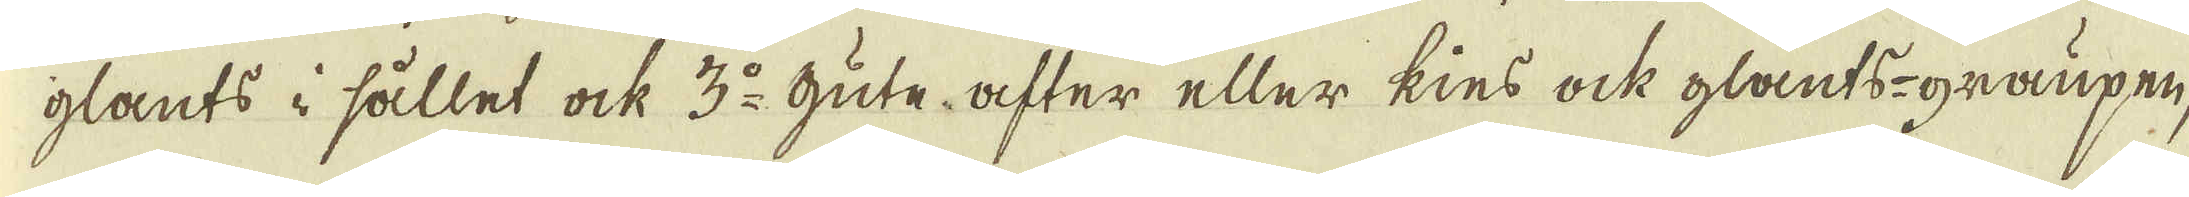glants i sållet ock 3:o Gute after eller kies ock glants-graupen,
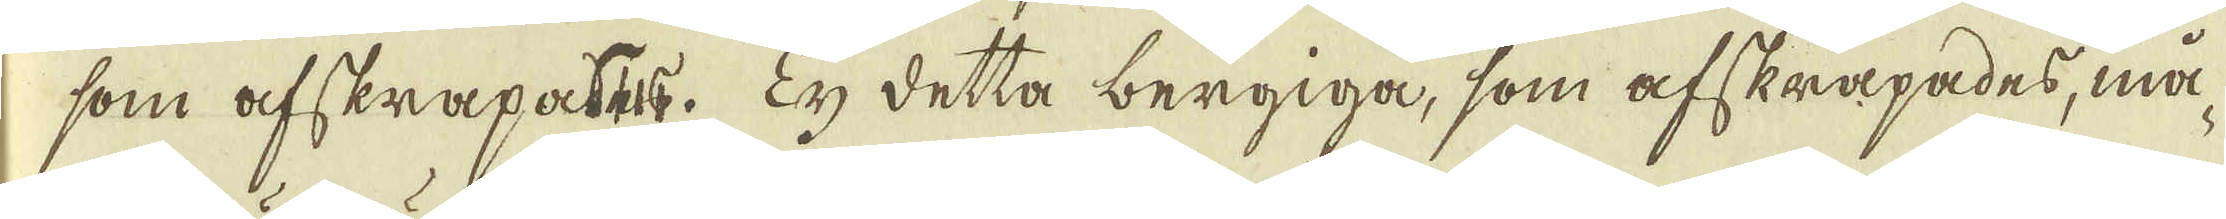som afskrapates. Ty detta bergiga, som afskrapades, må-
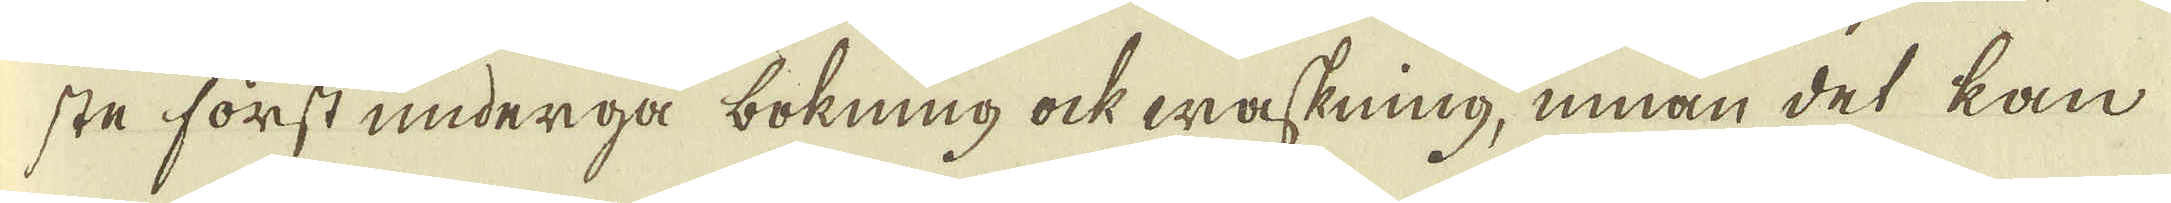ste först underga bokning ock waskning, innan det kan
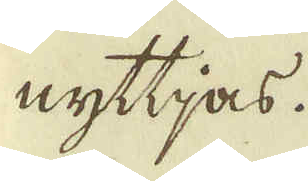nyttjas.
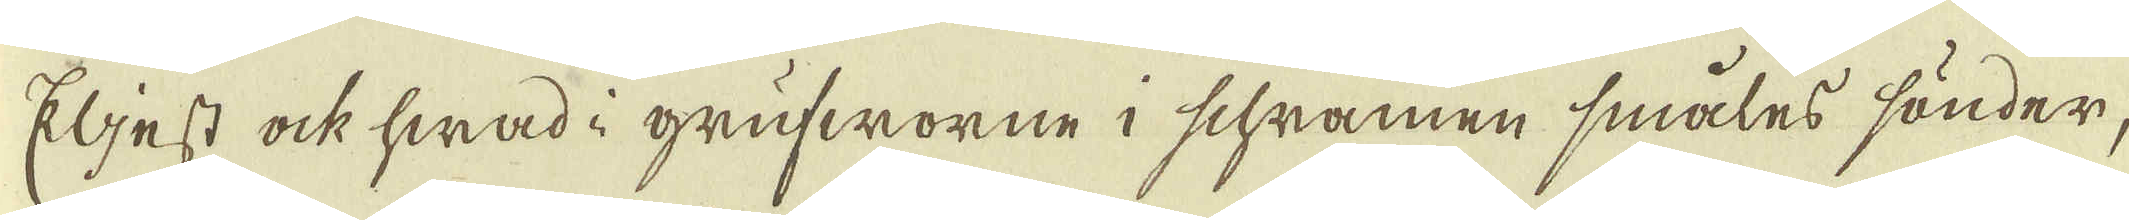Eljest ock hwad i grufworne i schramen småles sönder,
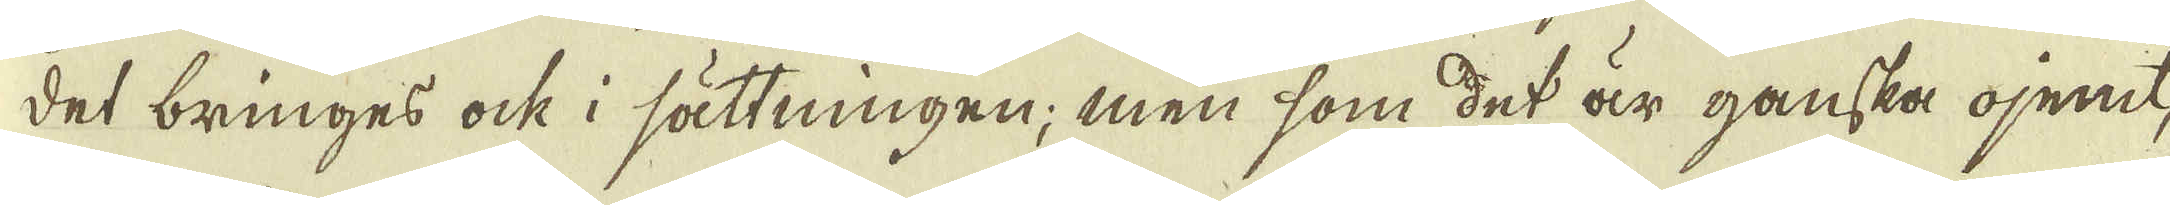det bringes ock i sättningen; men som det är ganska ojemt,
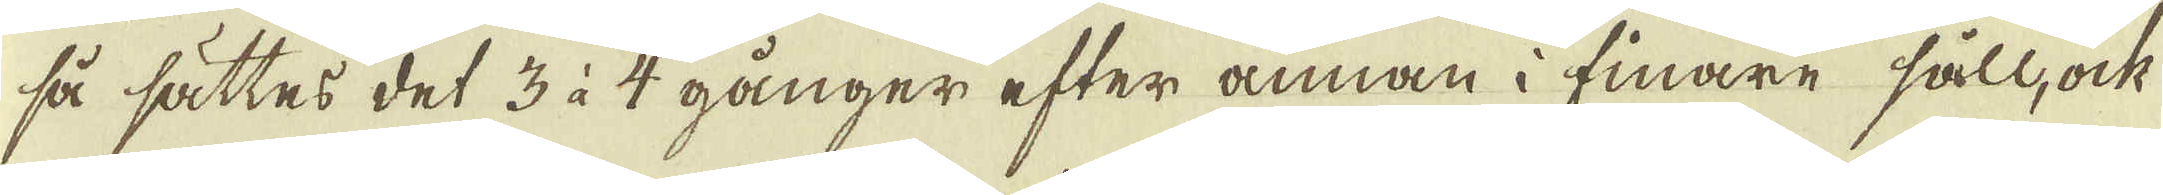så sättes det 3 à 4 gånger efter annan i finare såll, ock
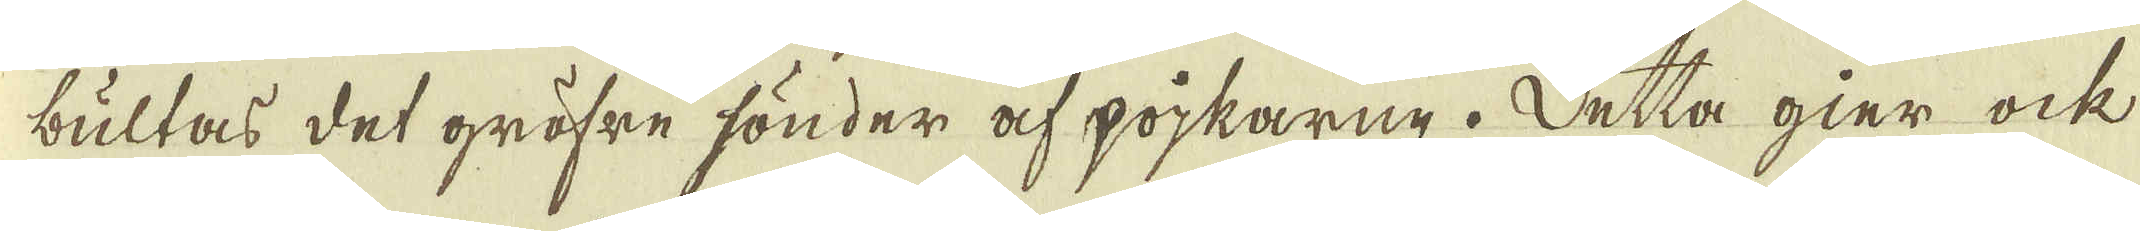bultas det gröfre sönder af pojkarne. Detta gier ock
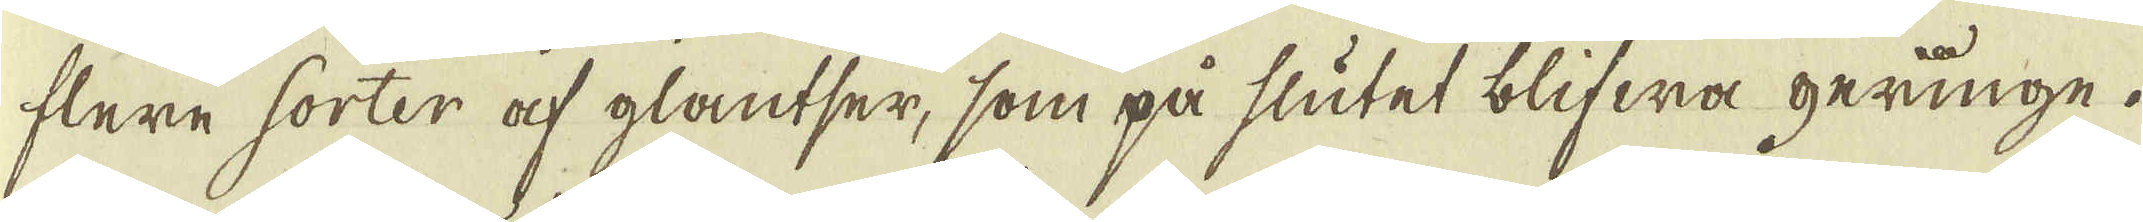flere sorter af glantser, som på slutet blifwa geringe.
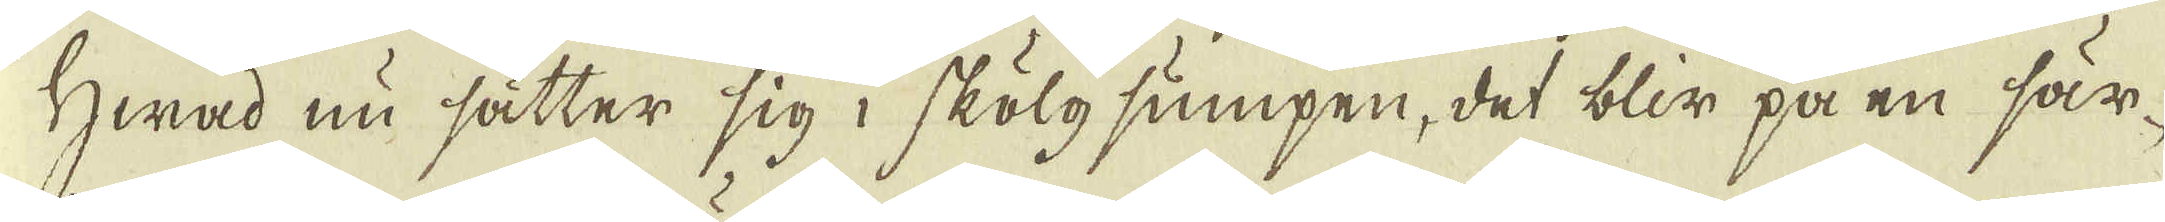Hwad nu sätter sig i skölgsumpen, det blir på en sär-
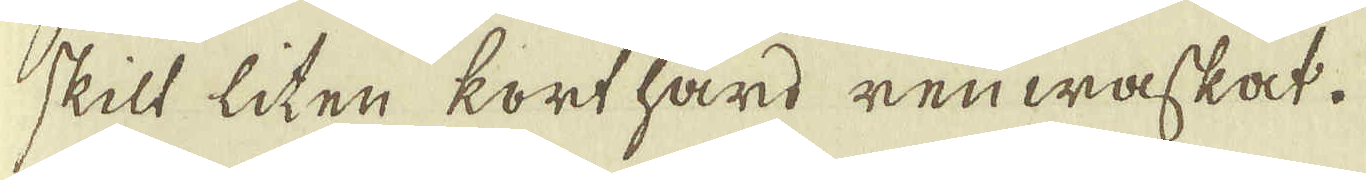skilt liten korthärd renwaskat.
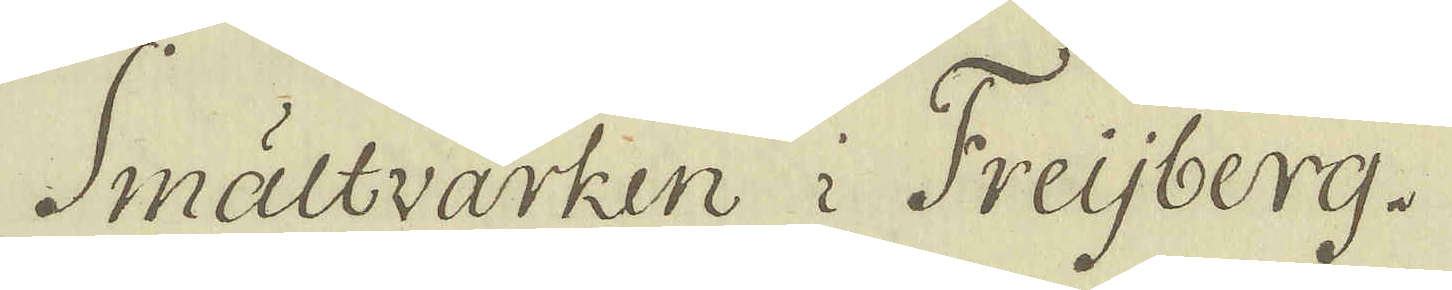Smältvärken i Freijberg.
